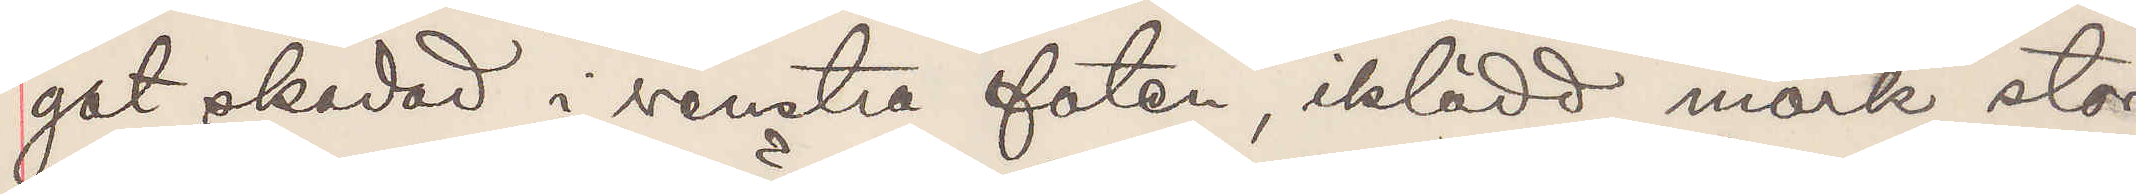got skadad i venstra foten, iklädd mörk stor
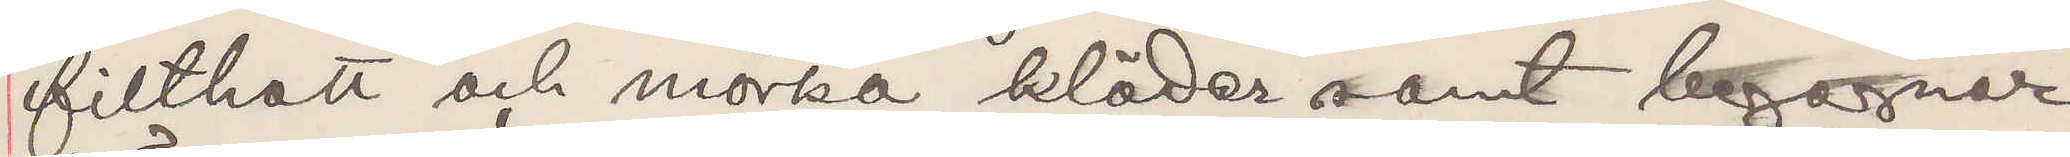filthatt och mörka kläder samt begagnar
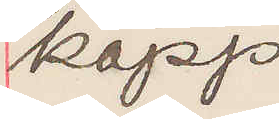käpp.
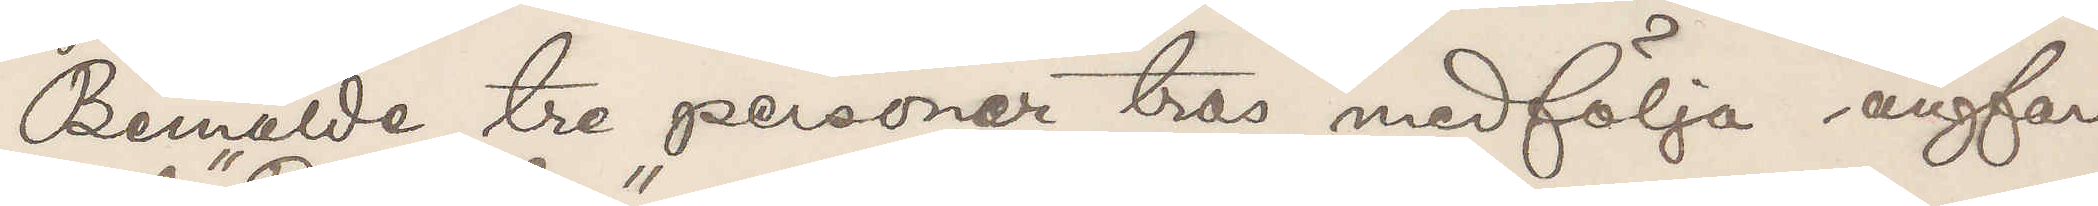Bemälde tre personer tros medfölja ångfar¬
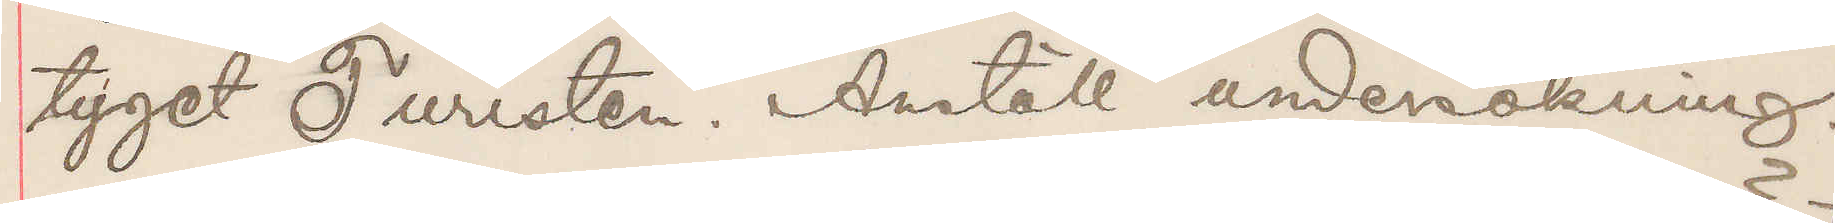tyget "Turisten". Anställ undersökning.
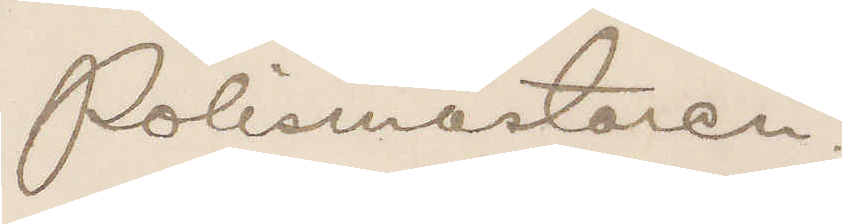Polismästaren.
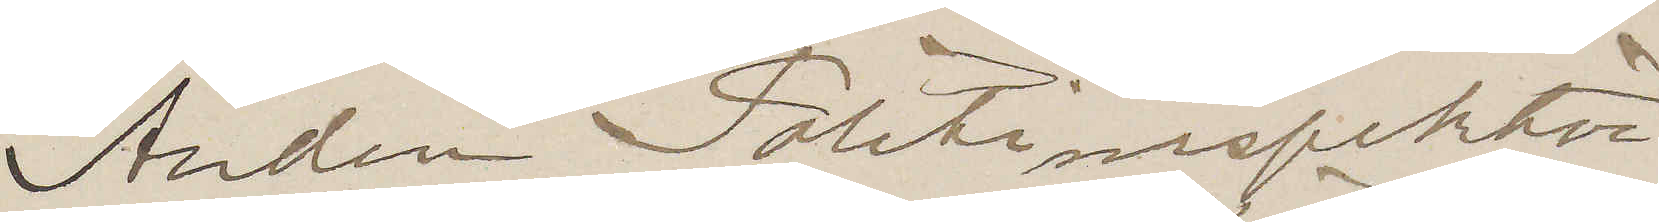Andre Polisinspektör
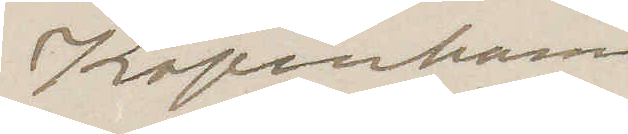Köpenhamn
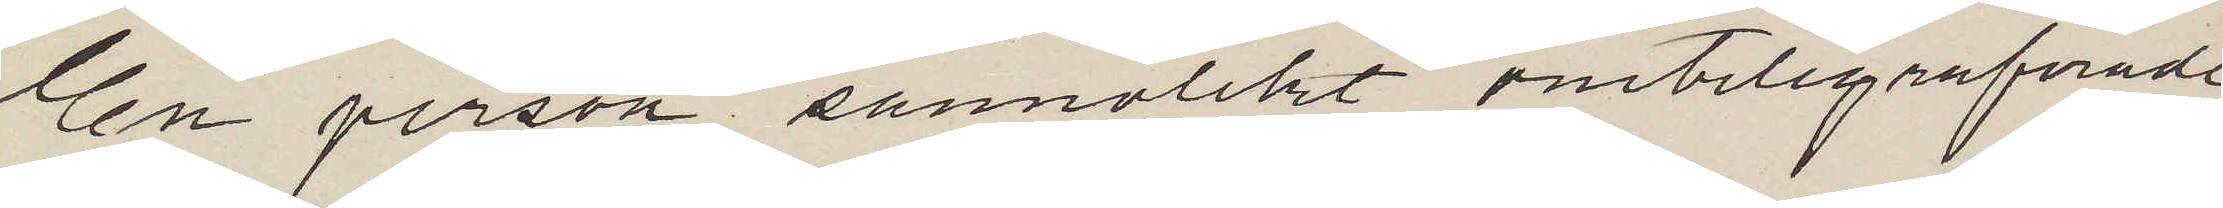En person sannolikt omtelegraferade
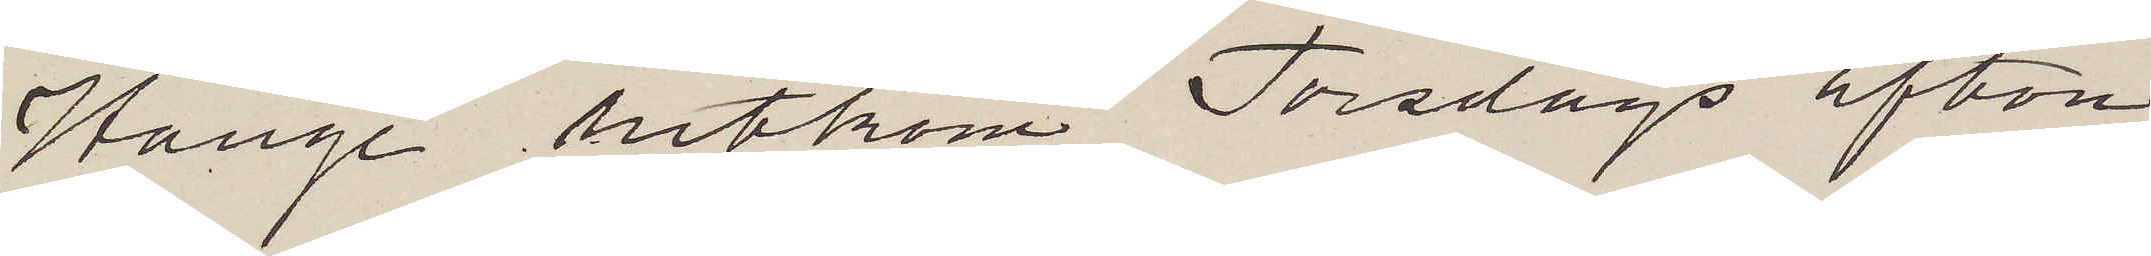Hange hitkom Torsdags afton,
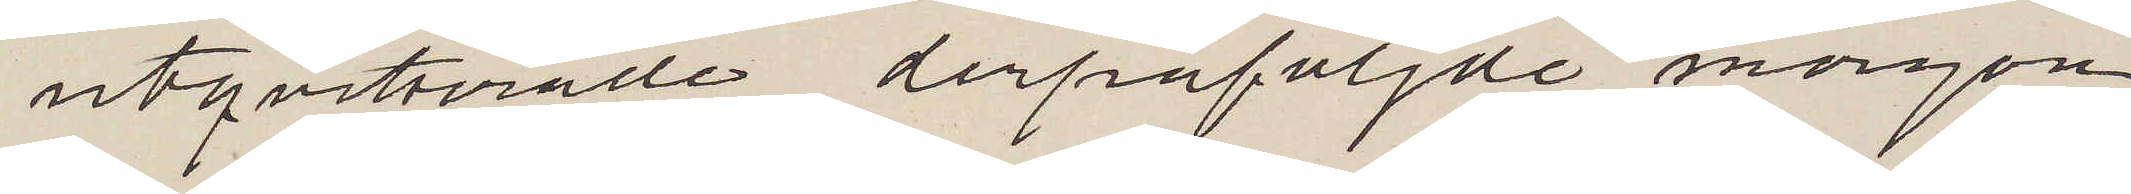utqvitterade derpåföljde morgon
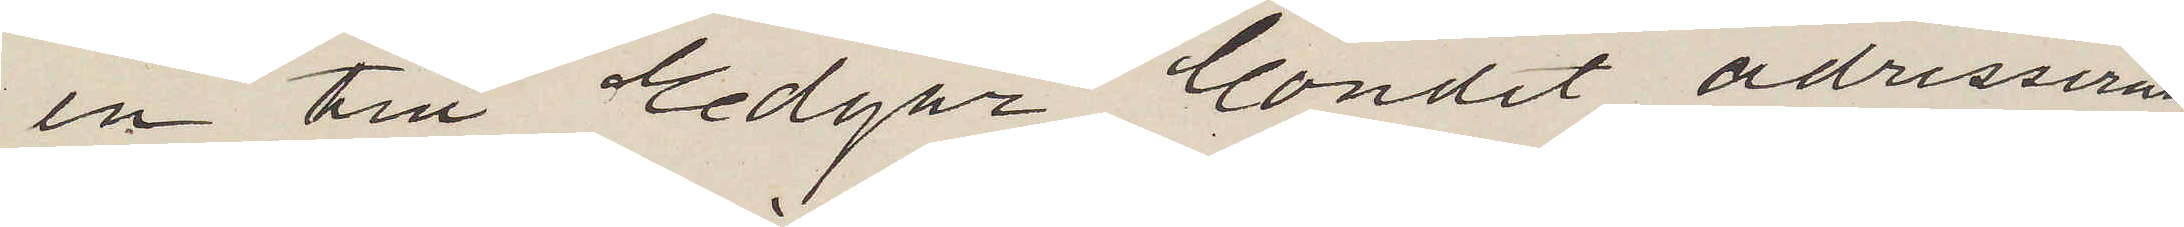en till Edgar Condit adresserad
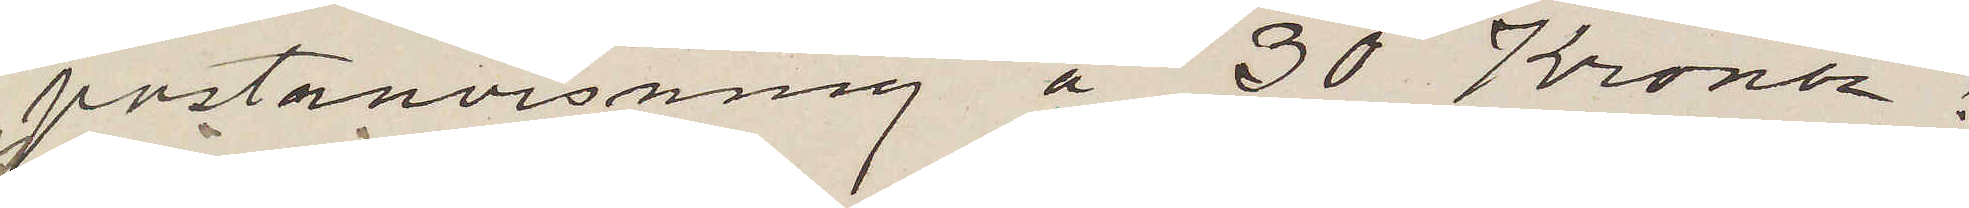postanvisning å 30 Kronor
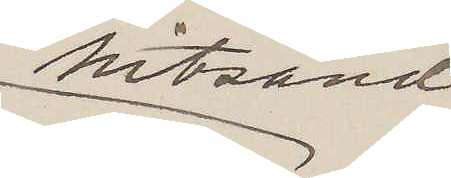hitsänd
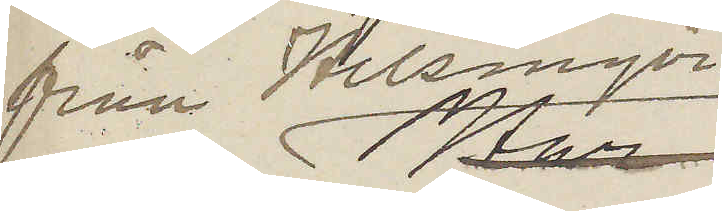från Helsingör
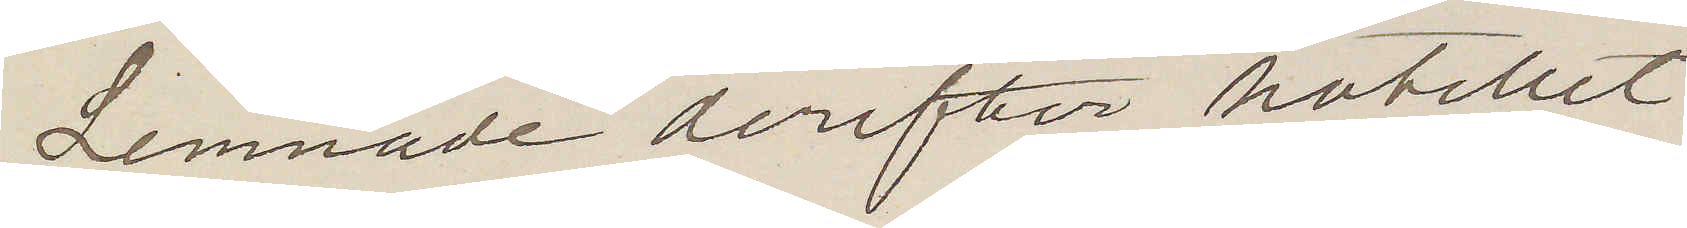Lemnade derefter hotellet
